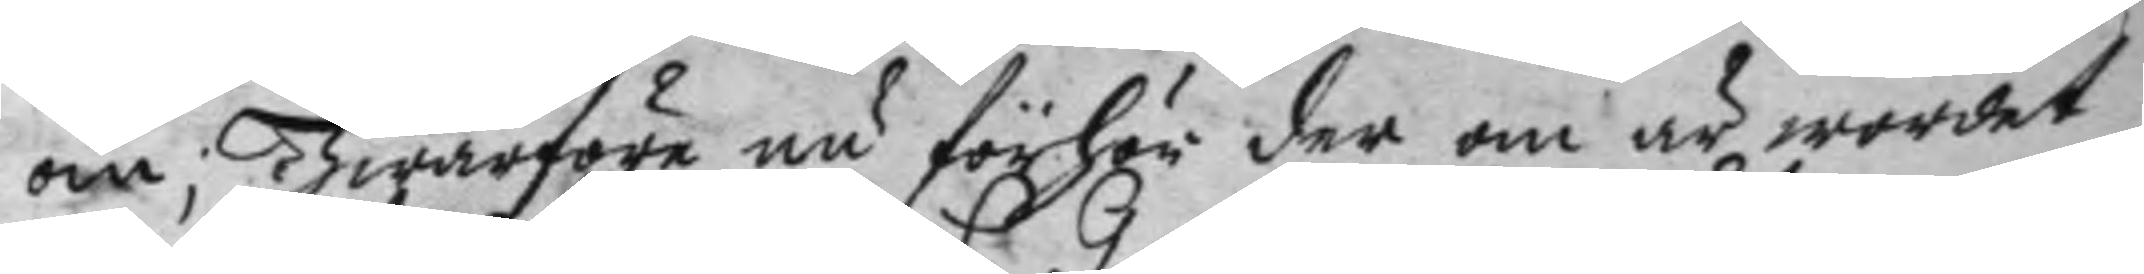om; hwarföre nu förhör der om är wordet
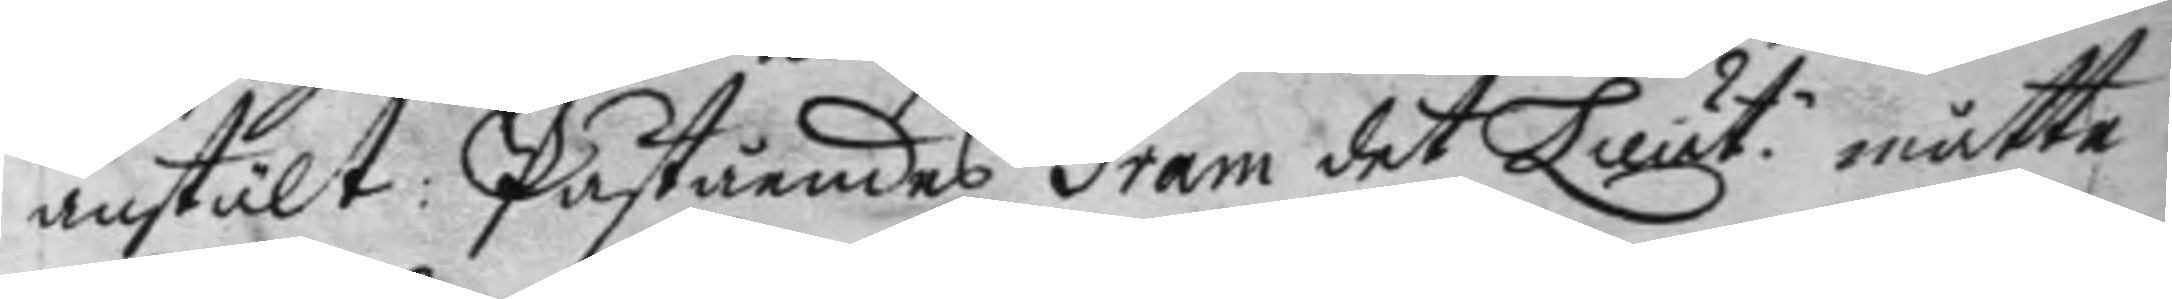anstält: Påståendes Gram det Lieut. måtte
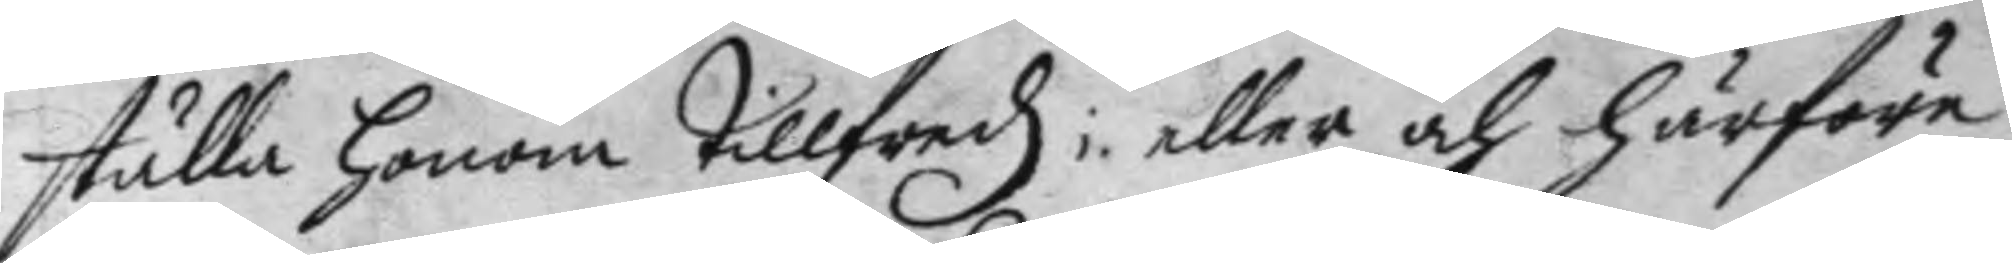ställa honom tillfredz; eller och härföre
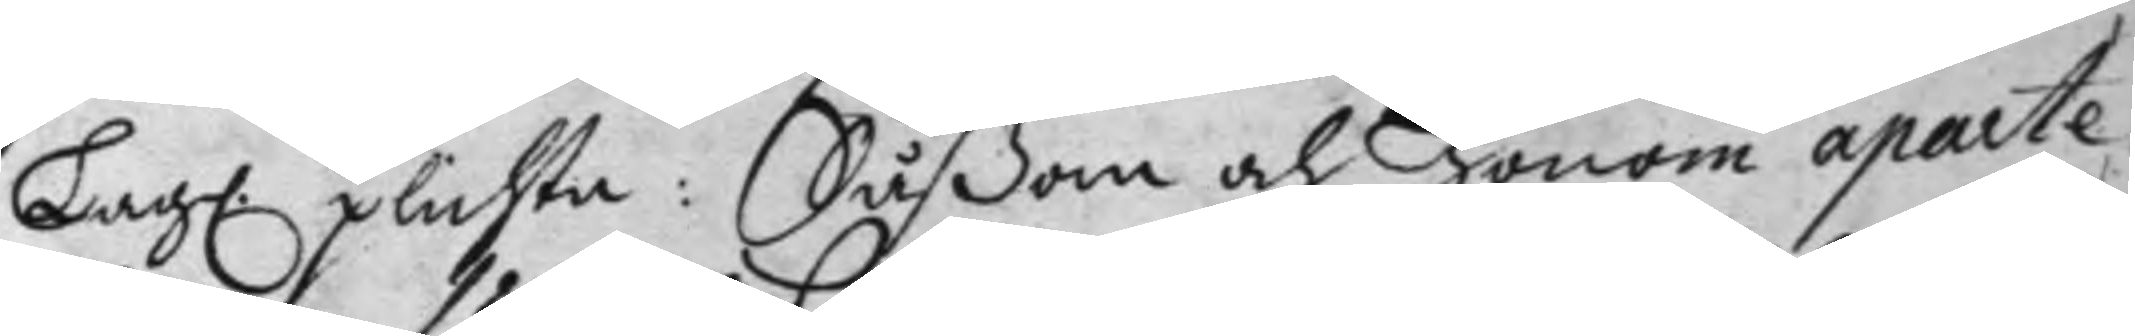Lag. plichta: Såßom och honom aparte
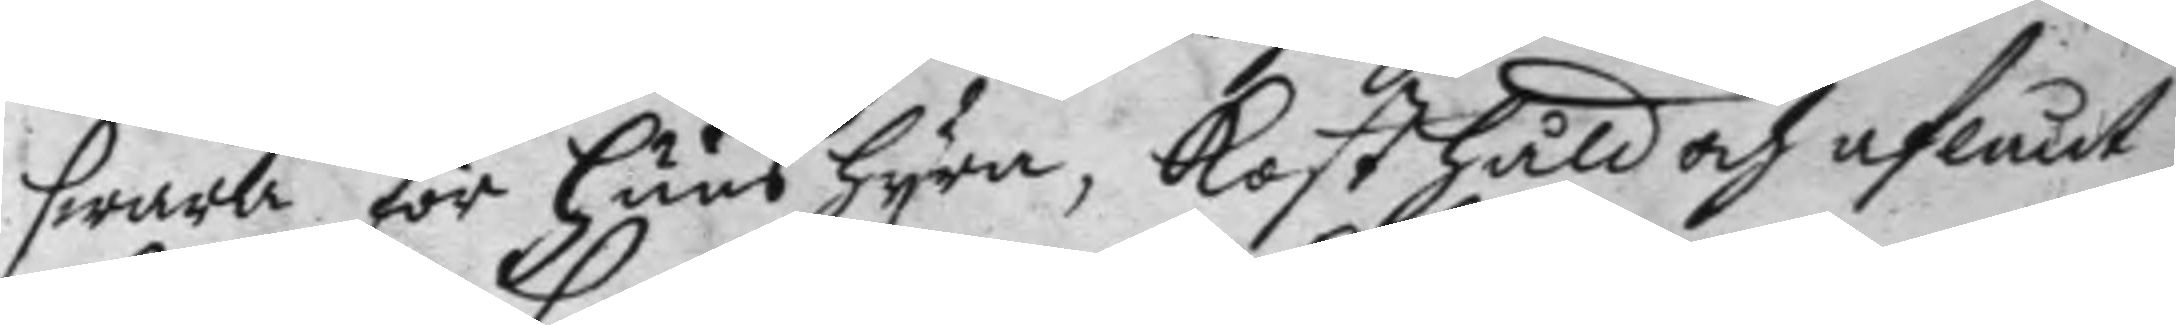swara för huushyra, kosthåld och aflånt
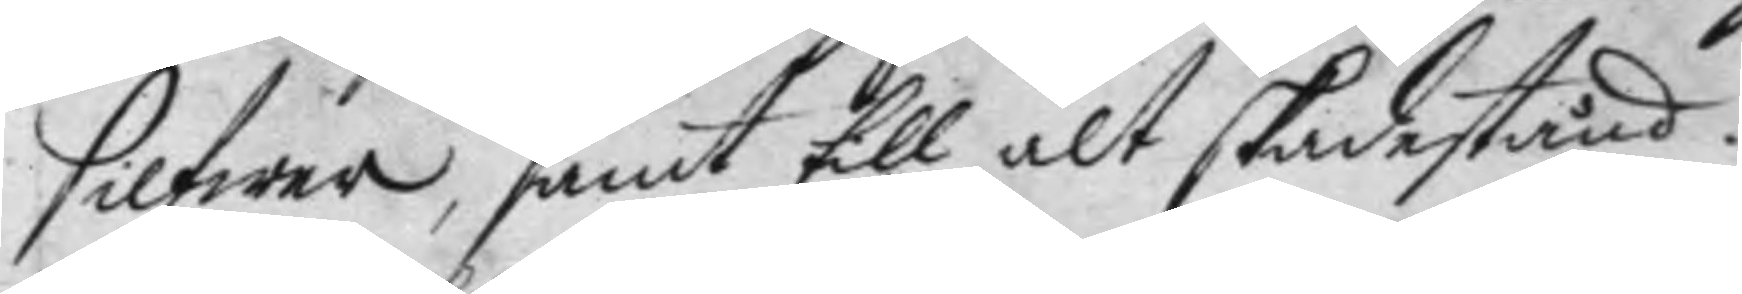silfwer, samt till alt skadestånd.
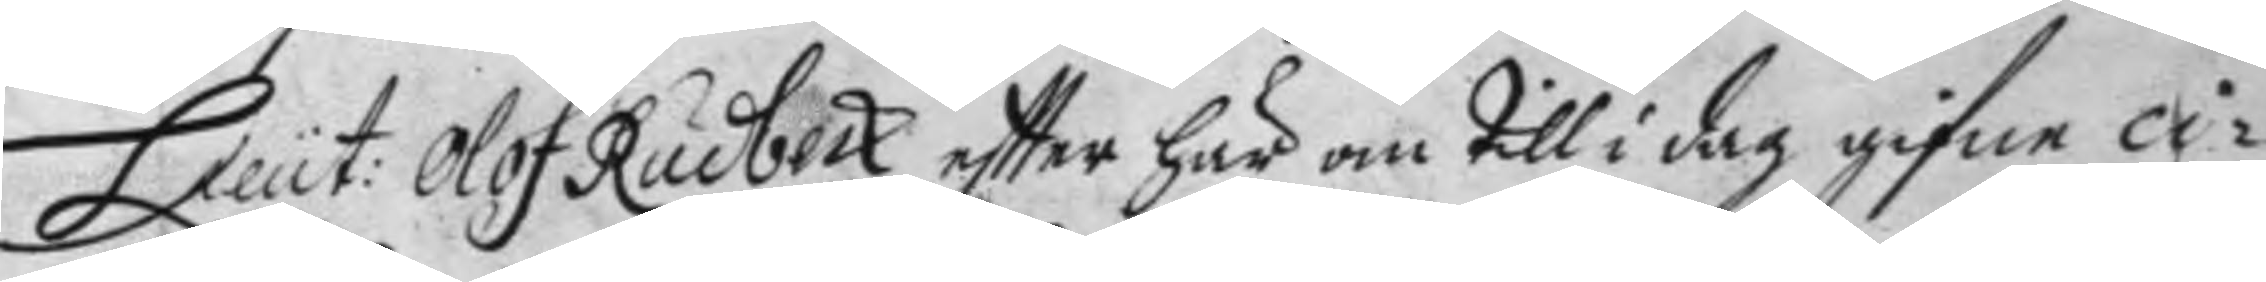Lieut: Olof Rudbeck eftter här om till i dag gifne ci¬
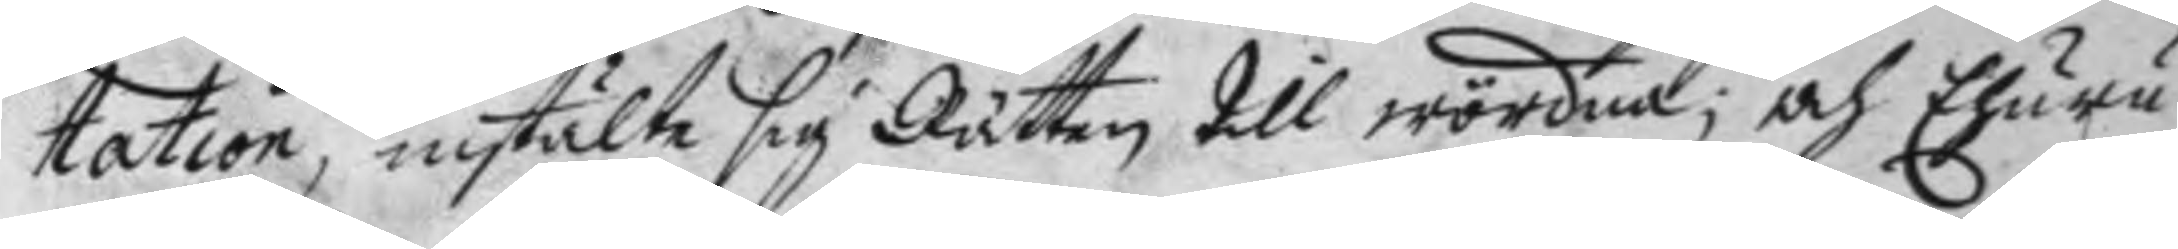tation, instälte sig Rätten till wördna; och Ehuru¬
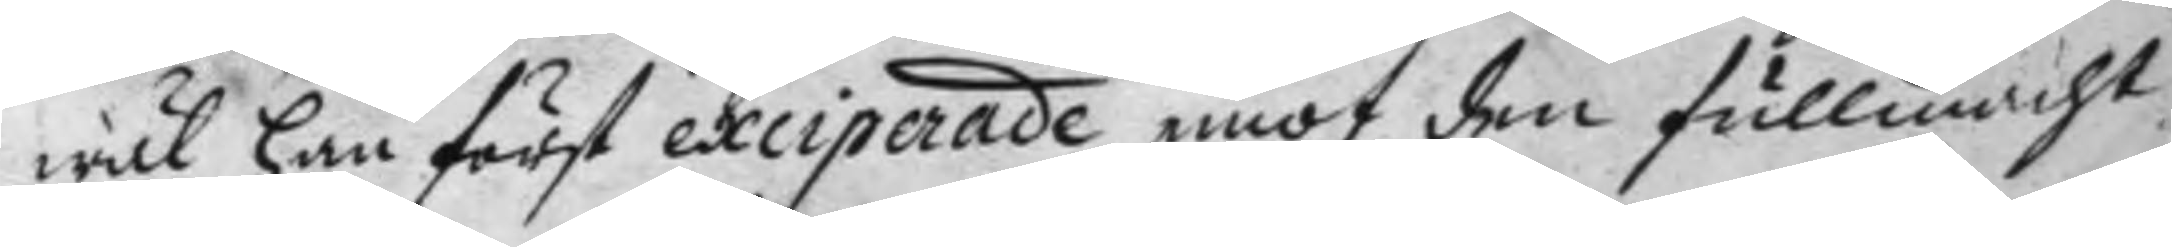wäl han fösrt exciperade emot den fullmacht
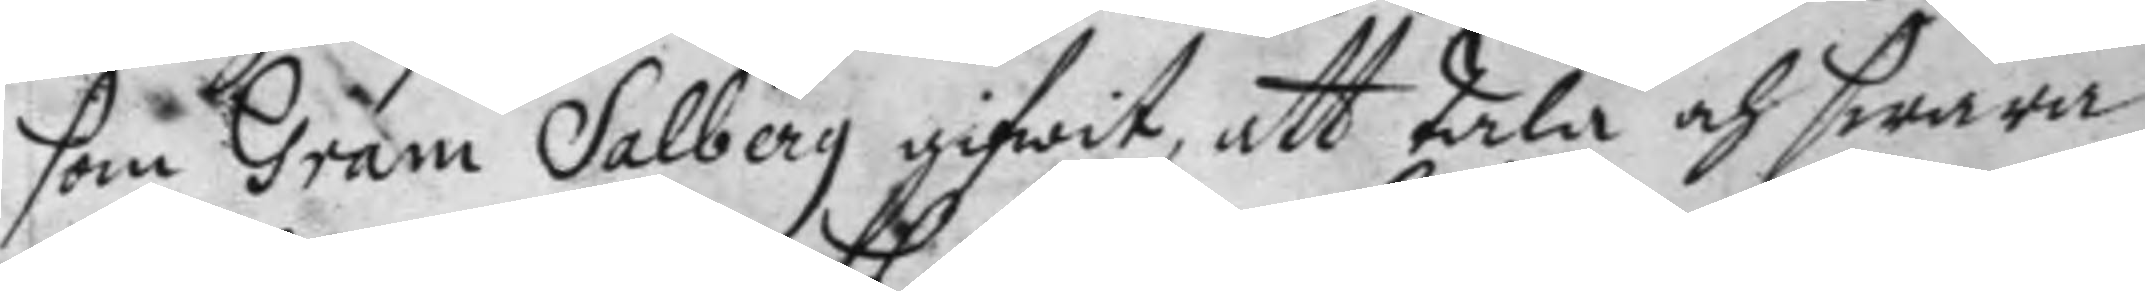som Gram Salberg gifwit, att tala och swara
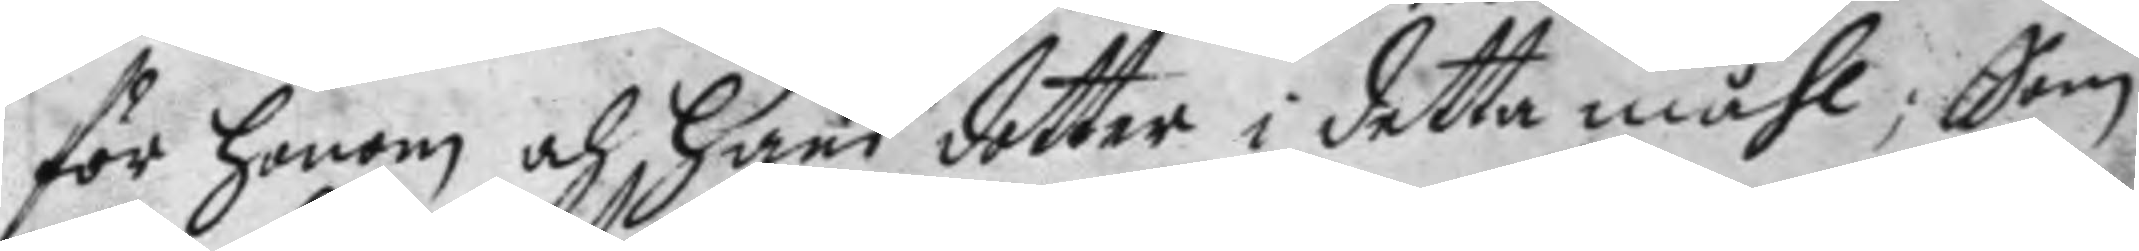för honom och hans dotter i detta måhl; Som
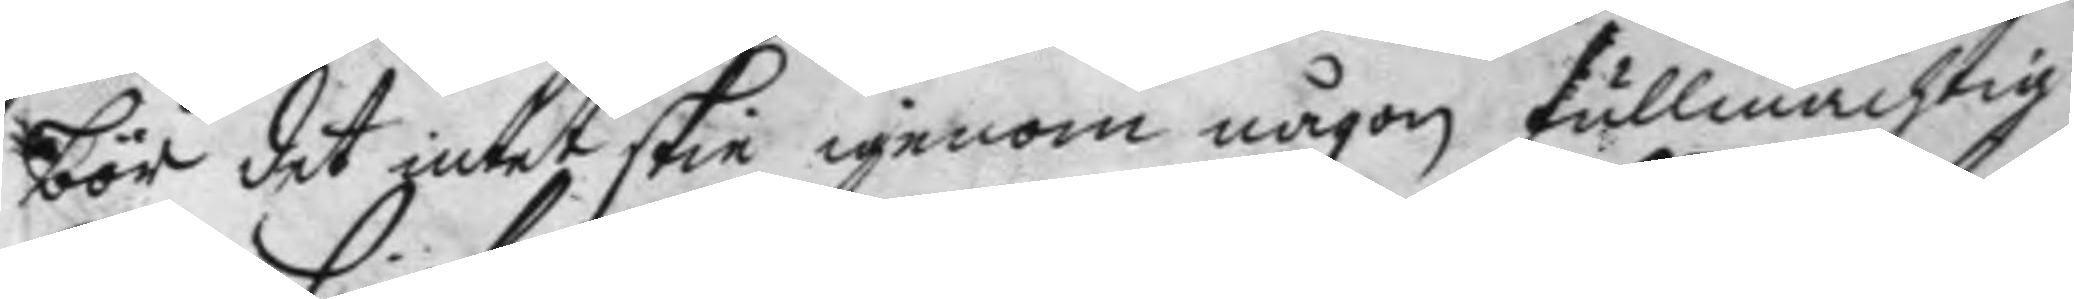bör det intet skie igenom någon fullmächtig
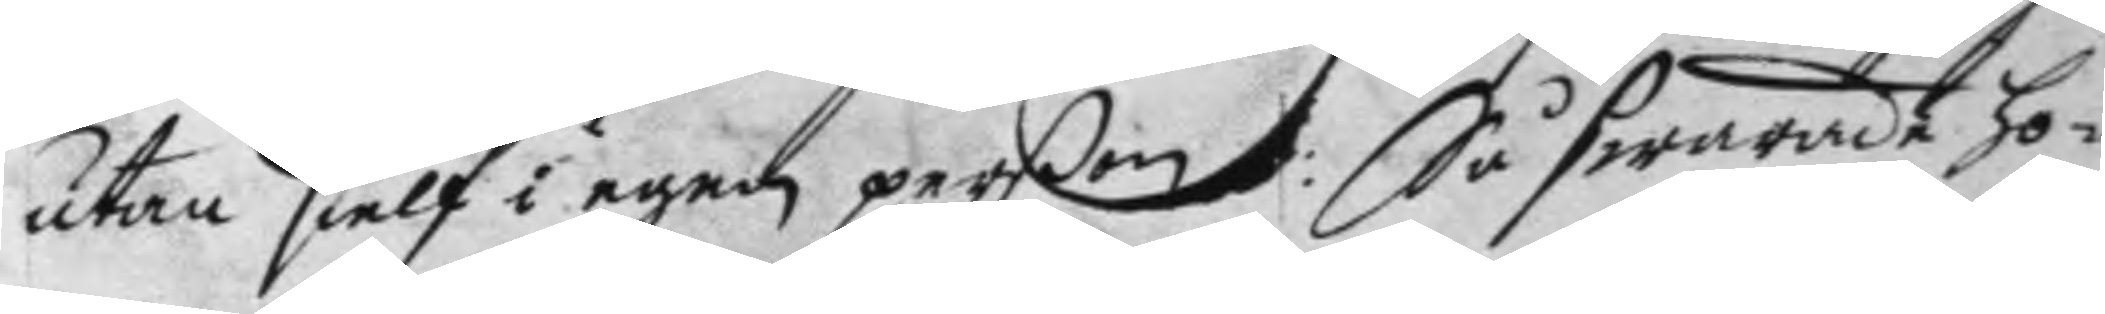utan sielf i egen perßon: Så swarade ho¬
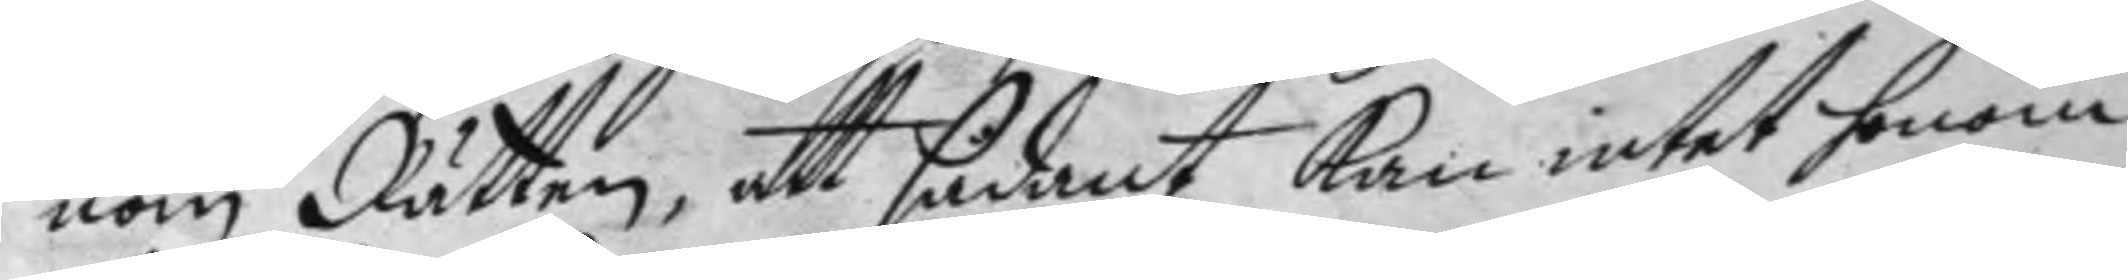nom Rätten, att sådant kan intet honom
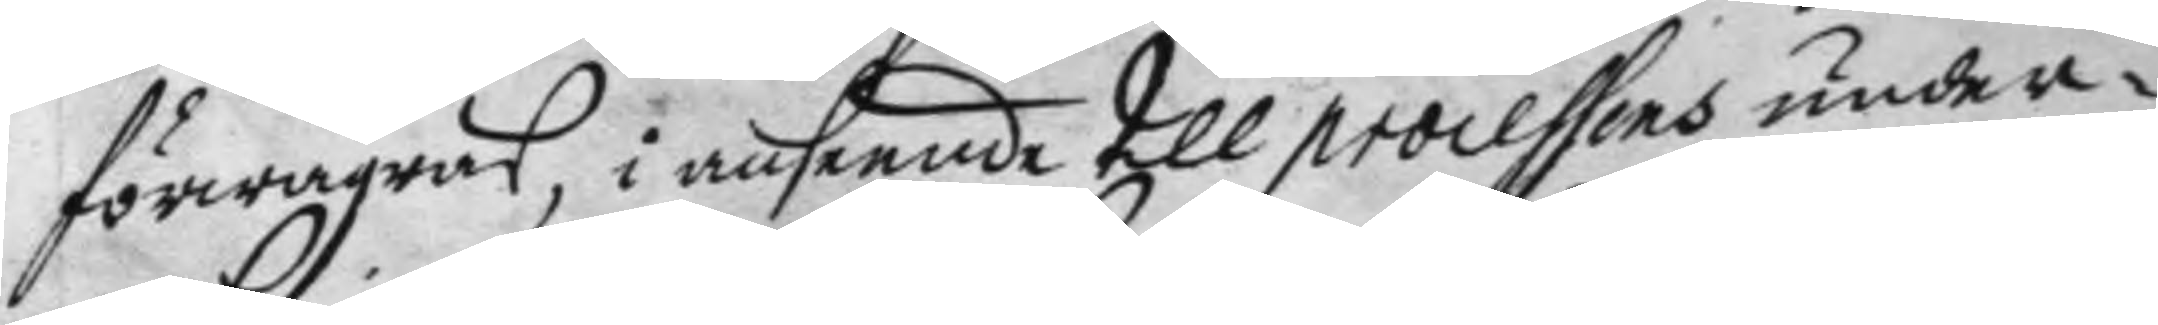förwägras, i anseende till processens under¬
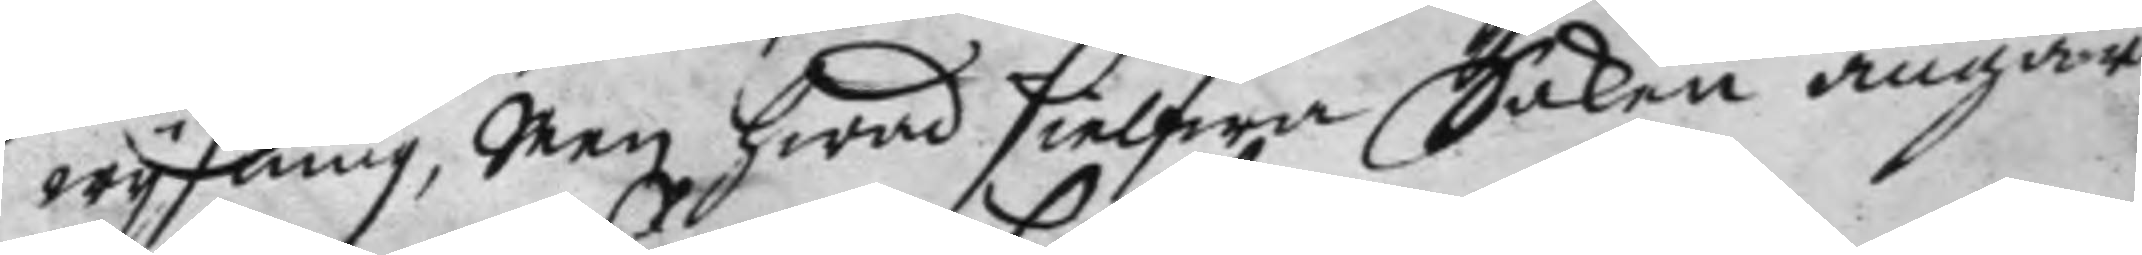wysning, Men hwad sielfwa Saken angår
